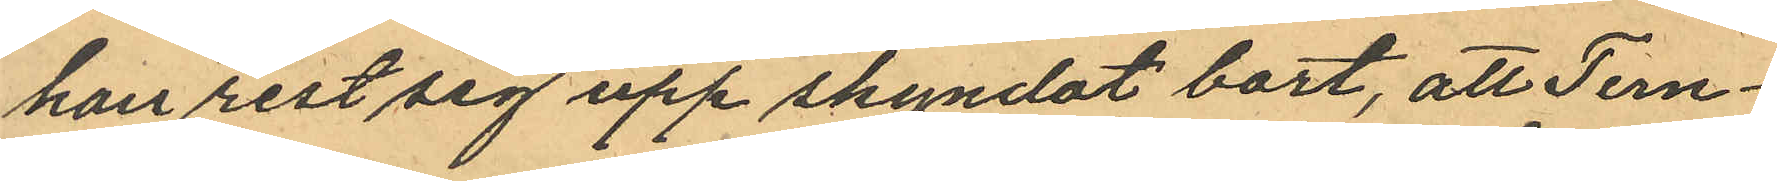han rest sig upp skyndat bort, att Tern¬
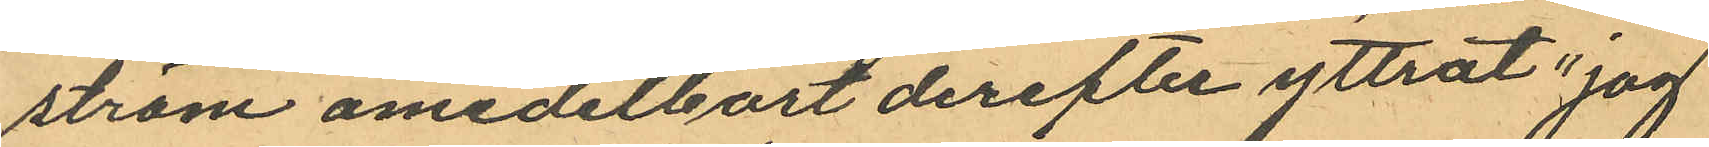ström omedelbort derefter yttrat: "jag
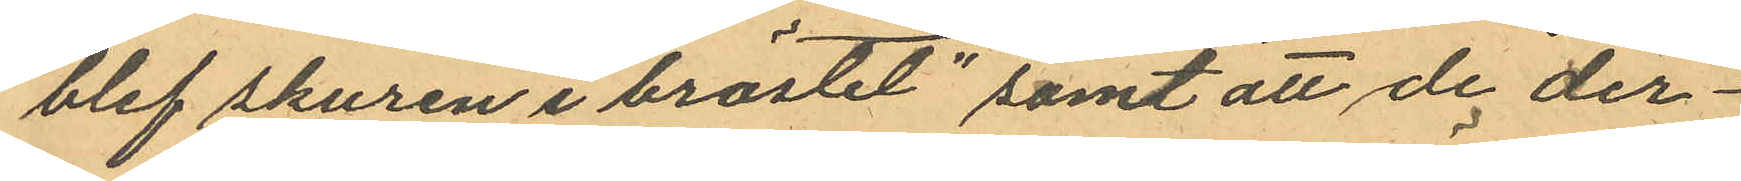blef skuren i bröstet"; samt att de der¬
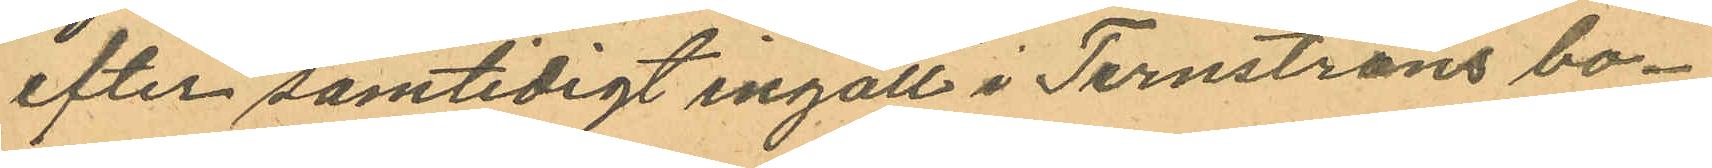efter samtidigt ingått i Ternströms bo¬
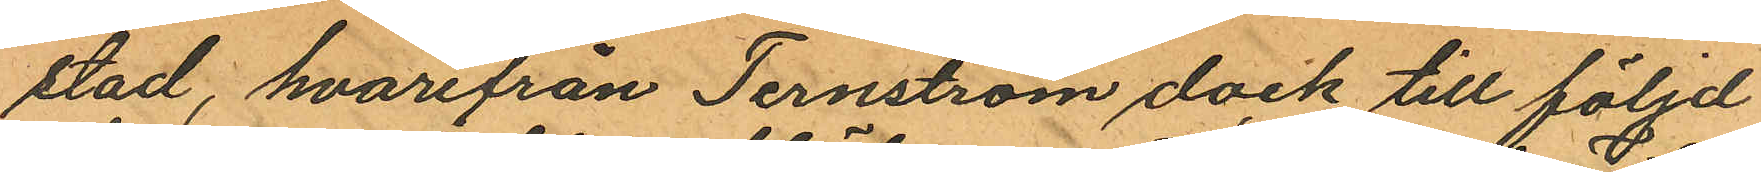stad, hvarifrån Ternström dock till följd
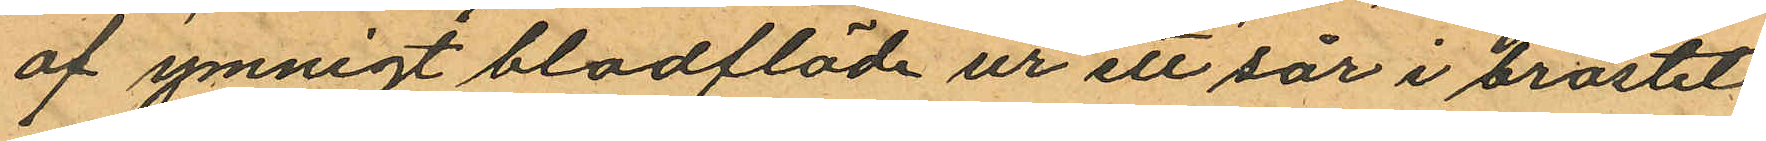af ymnigt bladflöde ur ett sår i bröstet
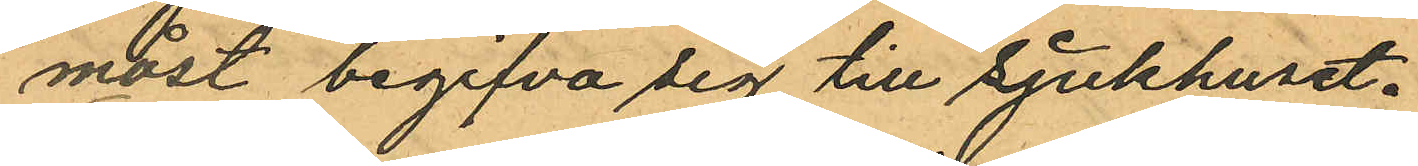måst begifva sig till sjukhuset.
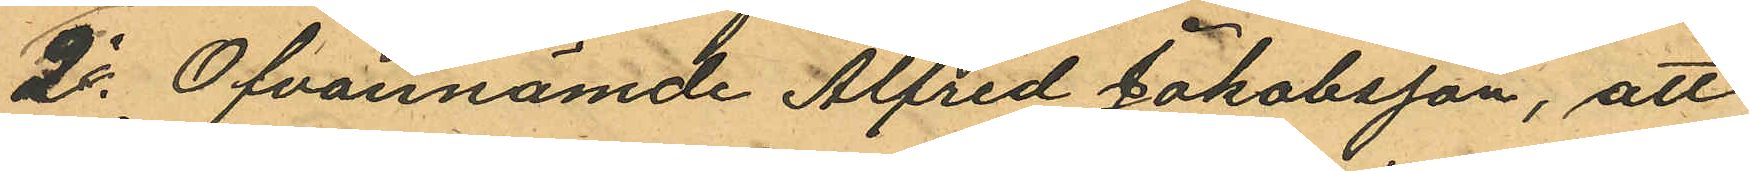2o Ofvannämde Alfred Jakobsson, att
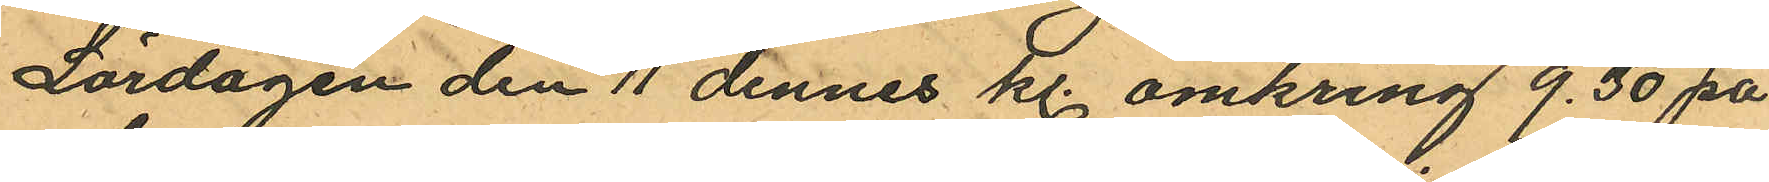Lördagen den 11 dennes kl. omkring 9.30 på
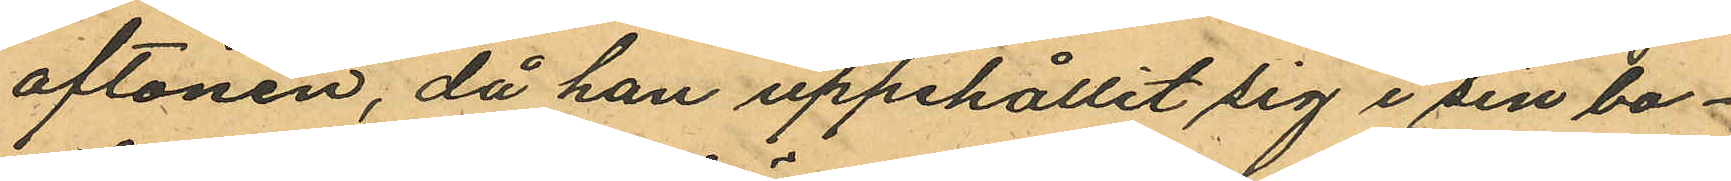aftonen, då han uppehållit sig i sin bo¬
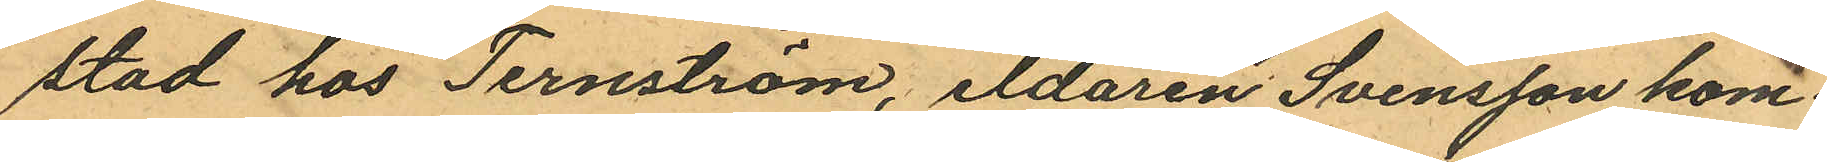stad hos Ternström, eldaren Svensson kom¬
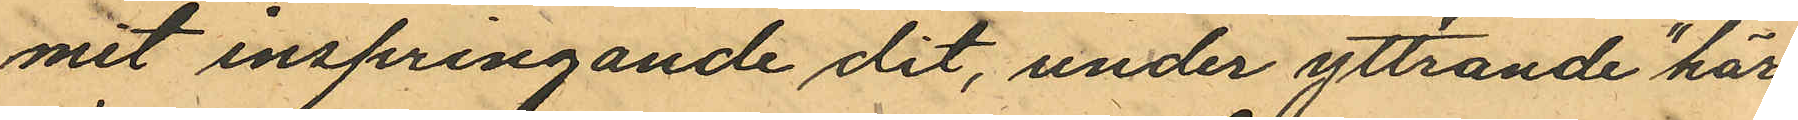mit inspringande dit, under yttrande "här
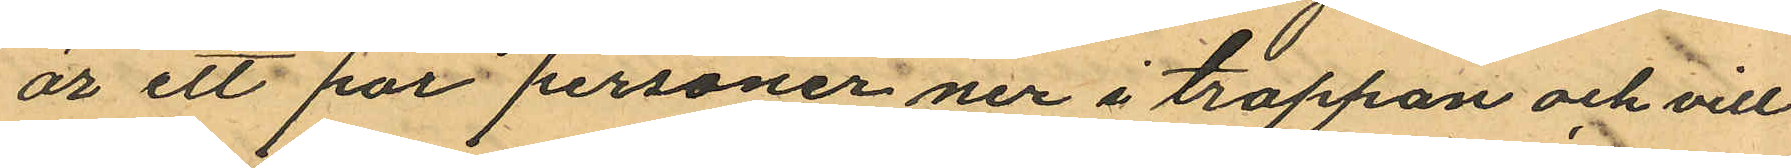är ett par personer ner i trappan och vill
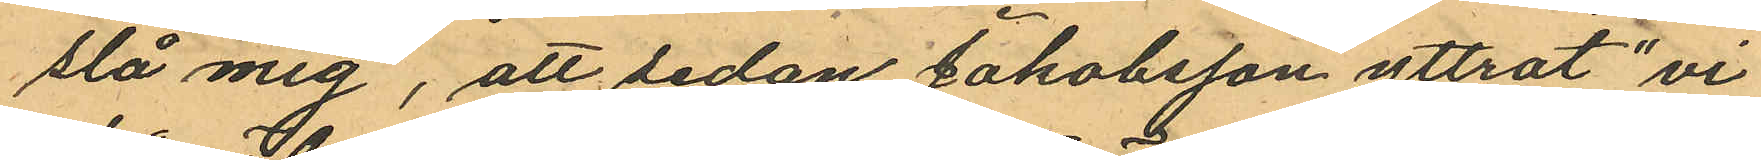slå mig", att sedan Jakobsson yttrat "vi
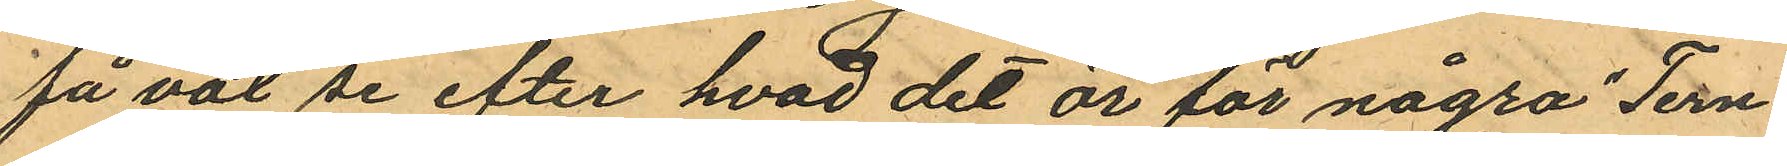få väl se efter hvad det år för några" Tern¬
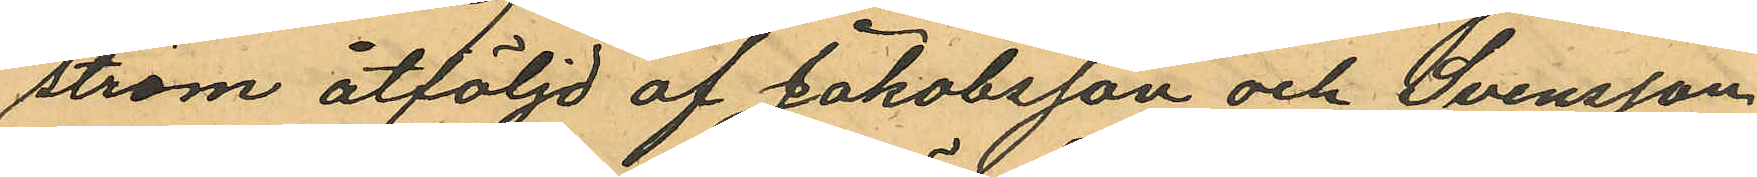ström åtföljd af Jakobsson och Svensson
